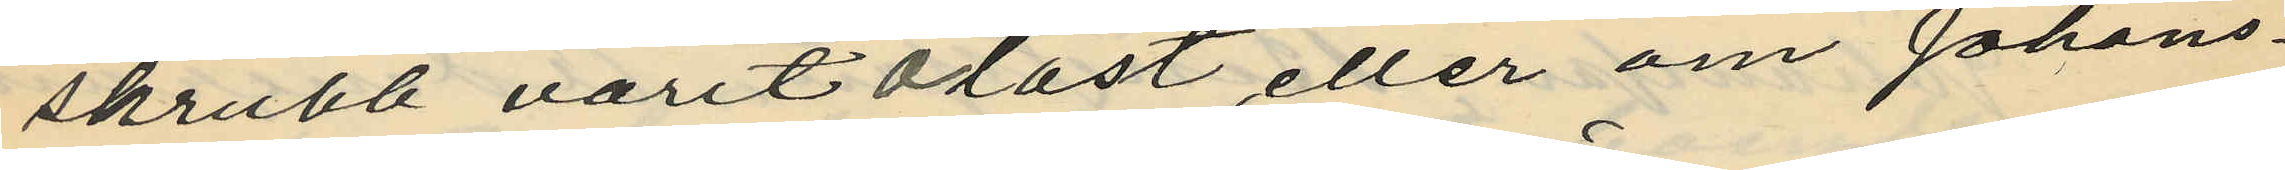skrubb varit olåst, eller om Johans¬
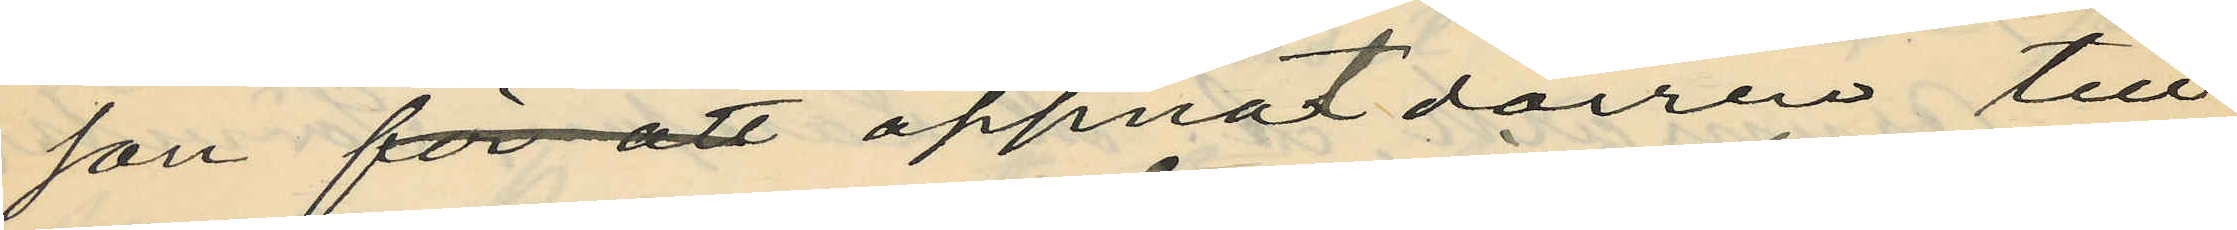son för att öppnat dörren till
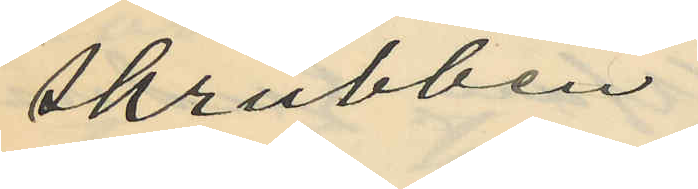skrubben
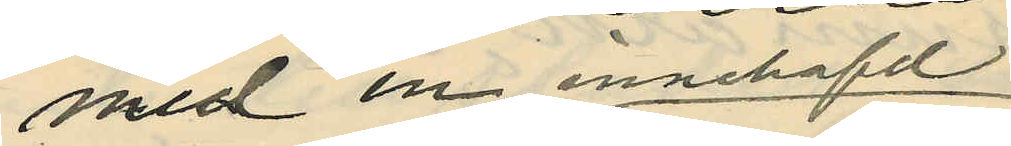med en innehafd
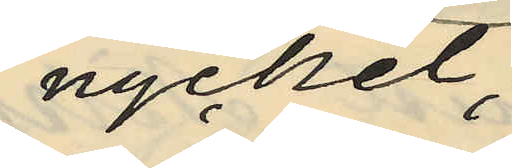nyckel,
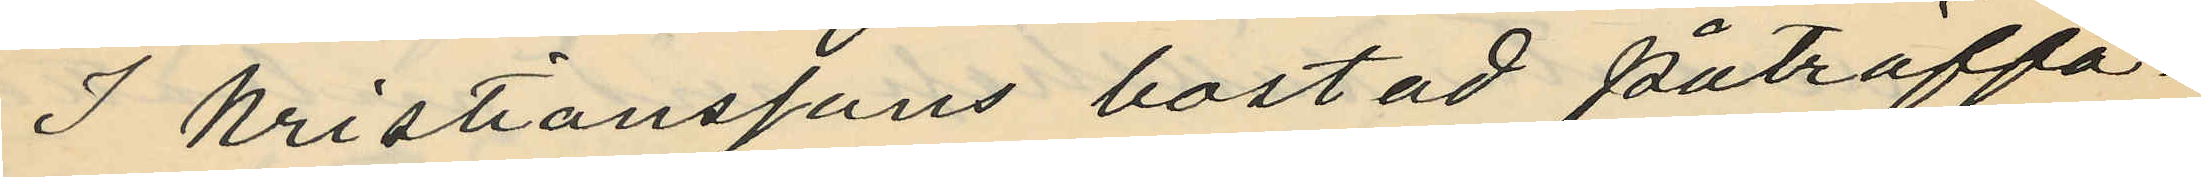I Kristianssons bostad påträffa¬
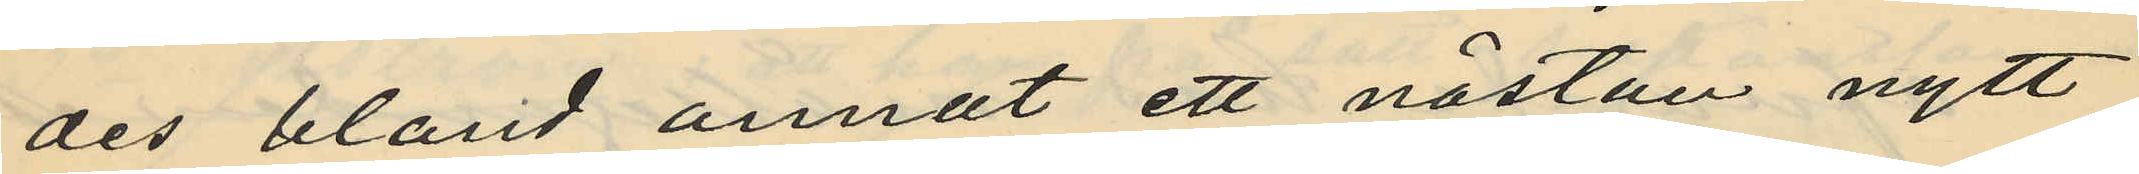des bland annat ett nästan nytt
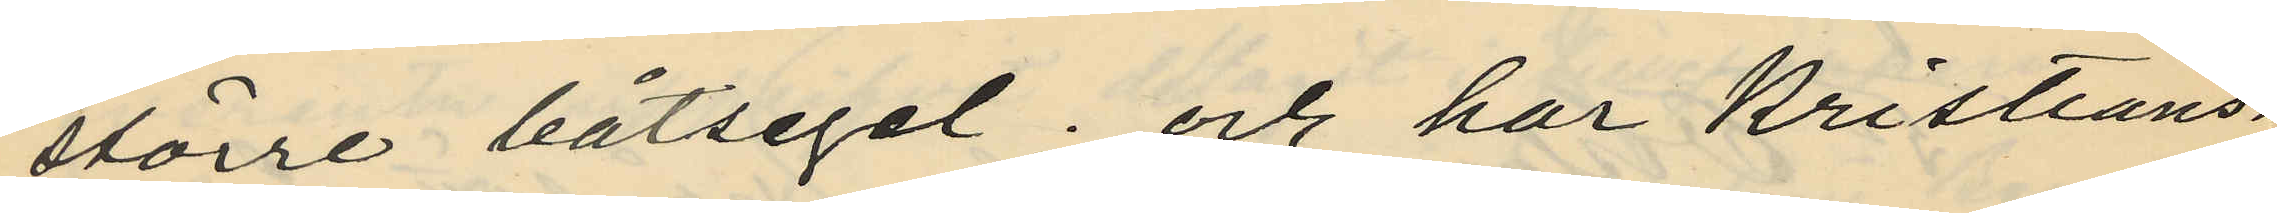större båtsegel; och har Kristians¬
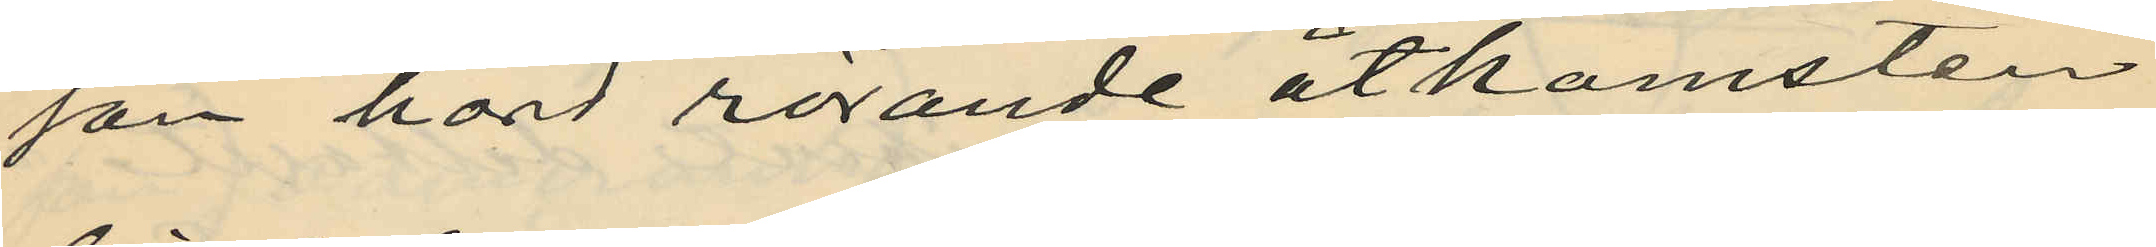son hörd rörande åtkomsten
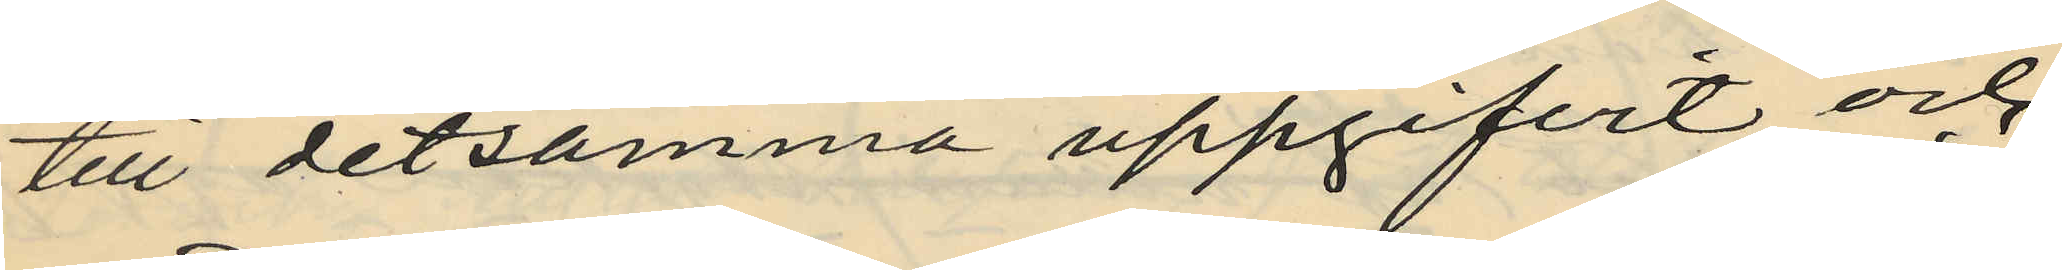till detsamma uppgifvit och
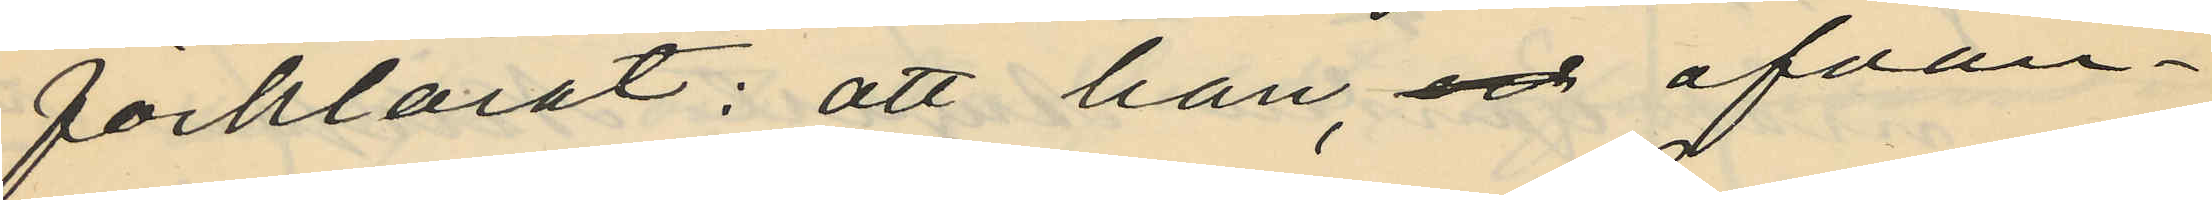förklarat: att han, och ofvan¬
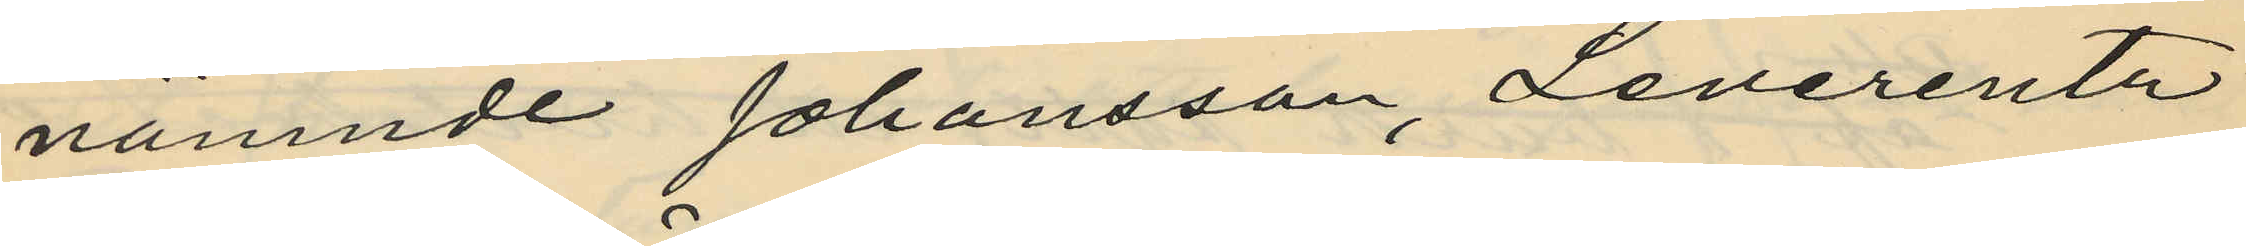nämnde Johansson, Leverentz
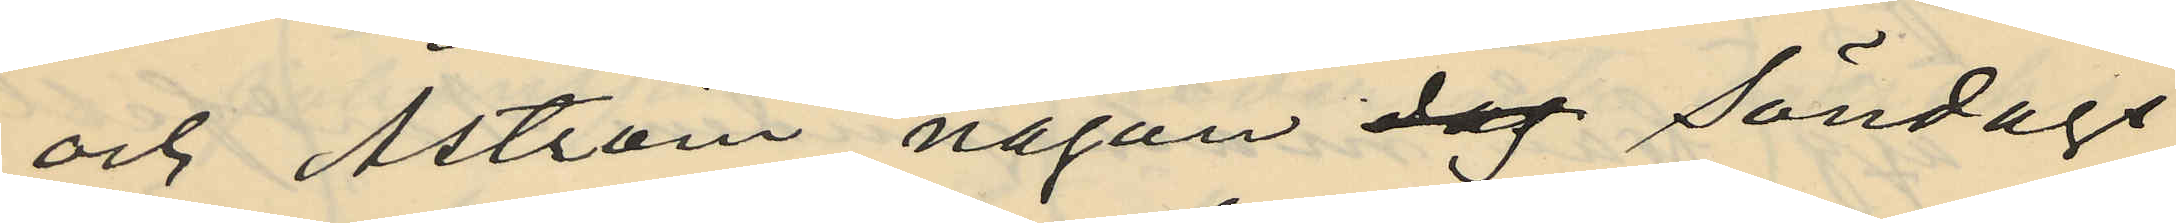och Åström någon dag Söndags
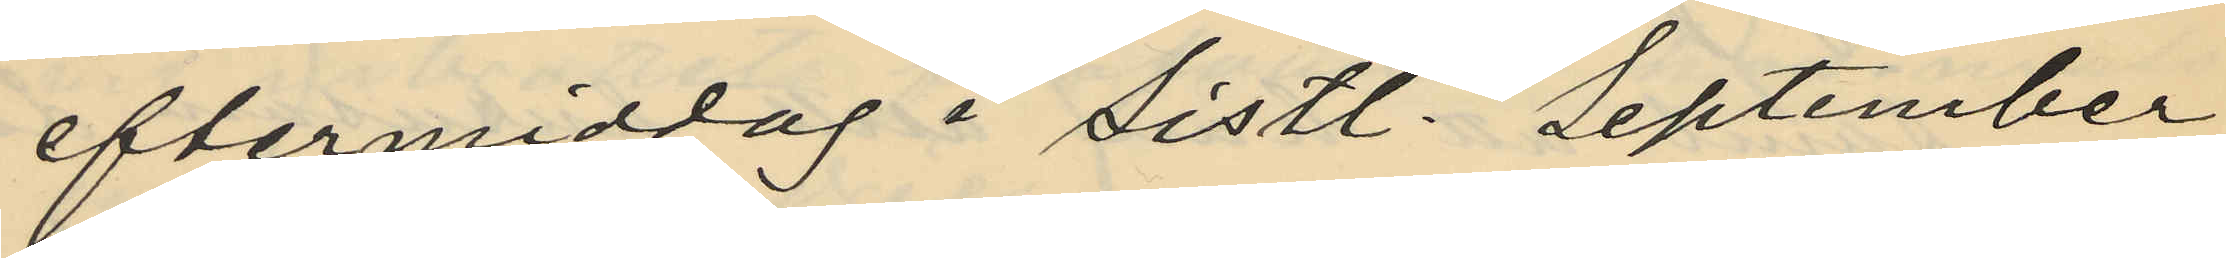eftermiddag i sistl. September
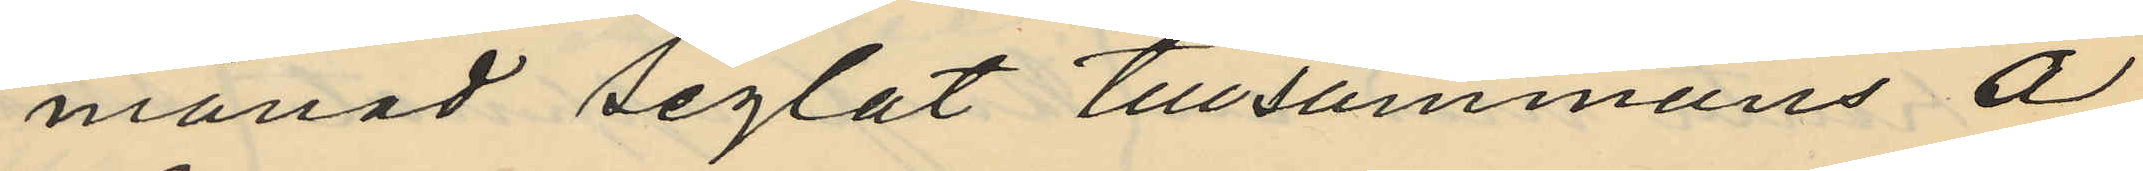månad seglat tillsammans å
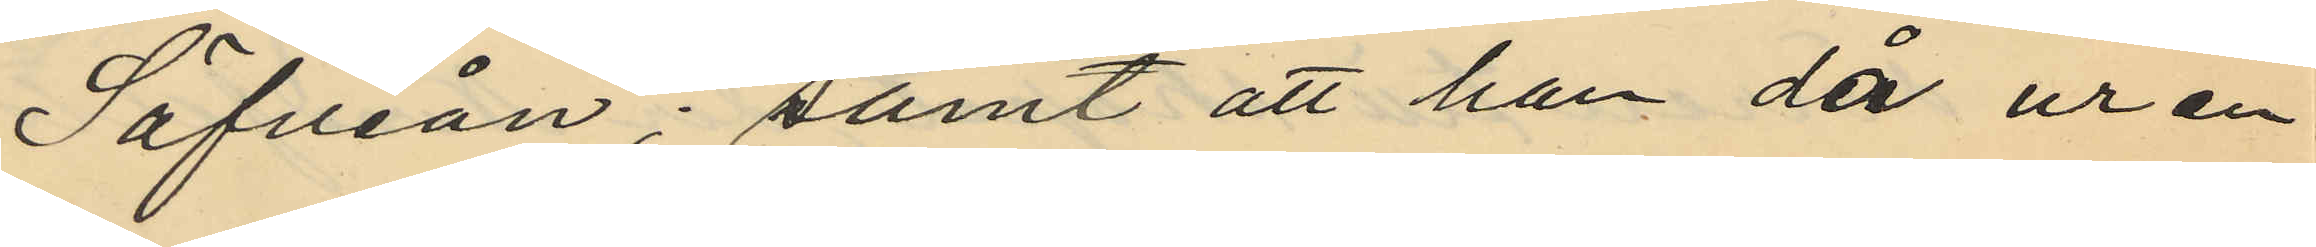Säfveån; samt att han då ur en
